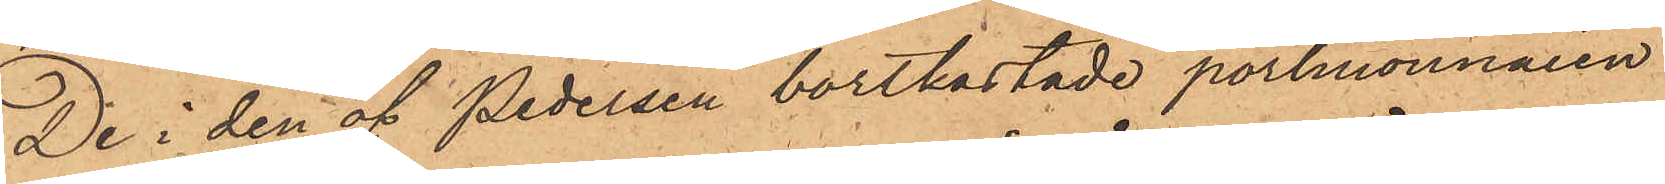De i den af Pedersen bortkastade portmonnaien
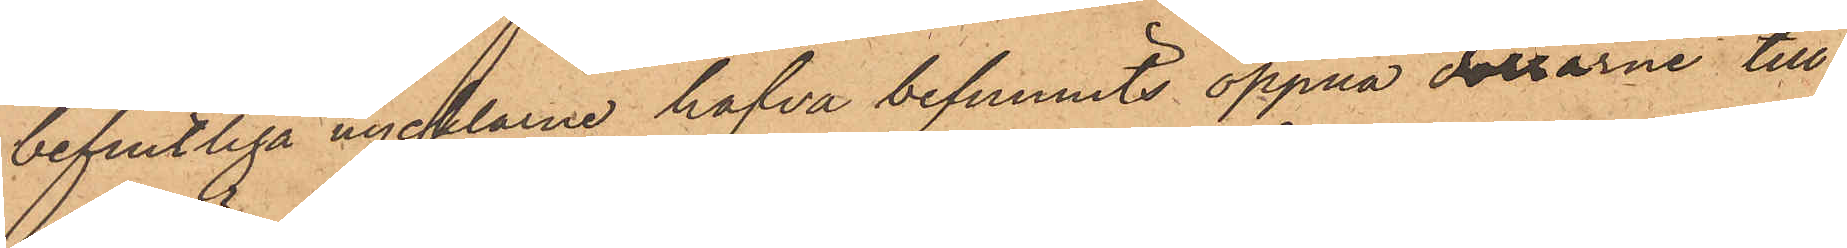befintliga nycklarne hafva befunnits öppna dörrarne till
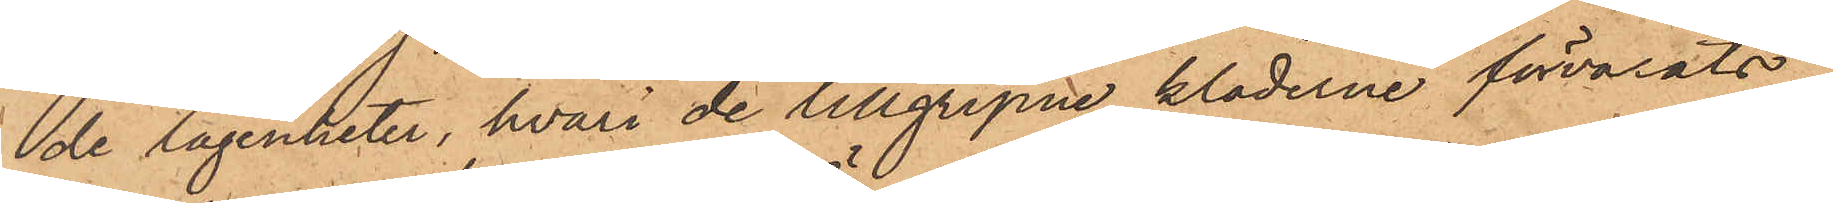de lägenheter, hvari de tillgripne kläderne förvarats.
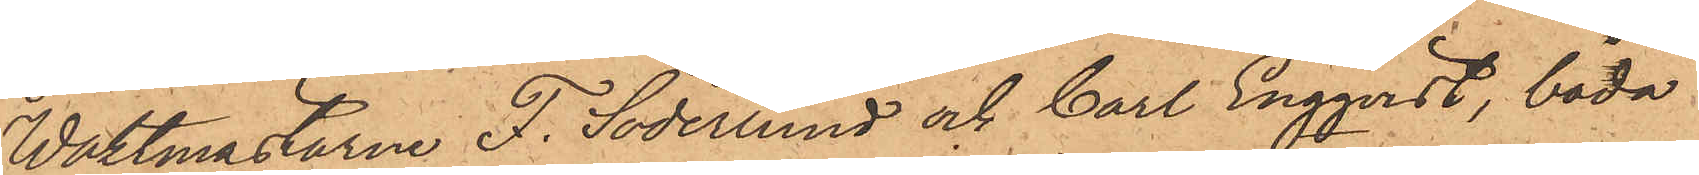Waktmästarne F. Söderlund och Carl Engqvist, båda
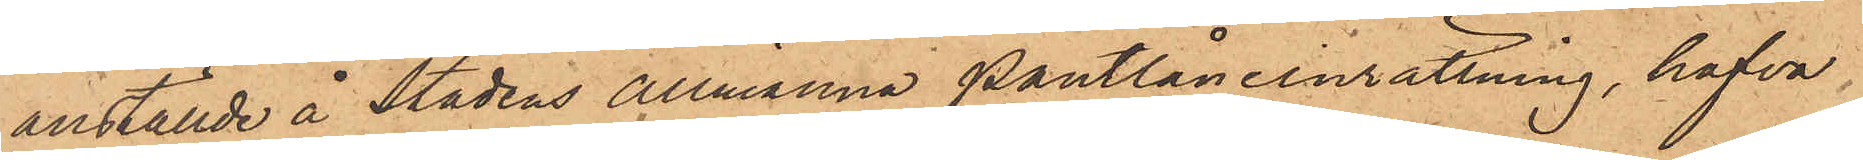anställde å Stadens allmänna Pantlåneinrättning, hafva
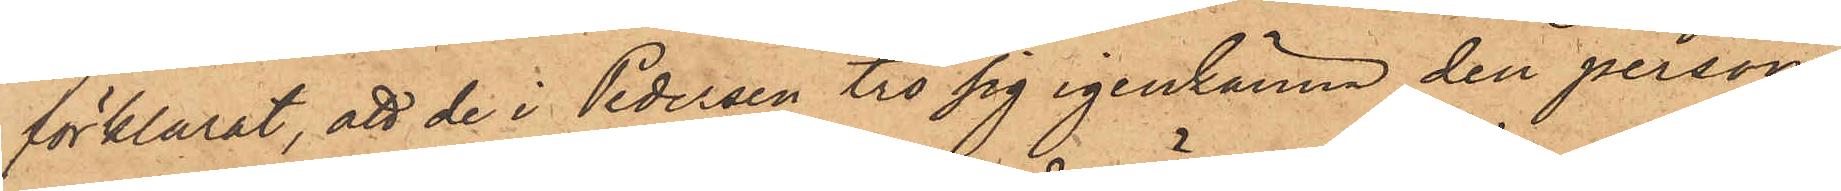förklarat, att de i Pedersen tro sig igenkänna den person,
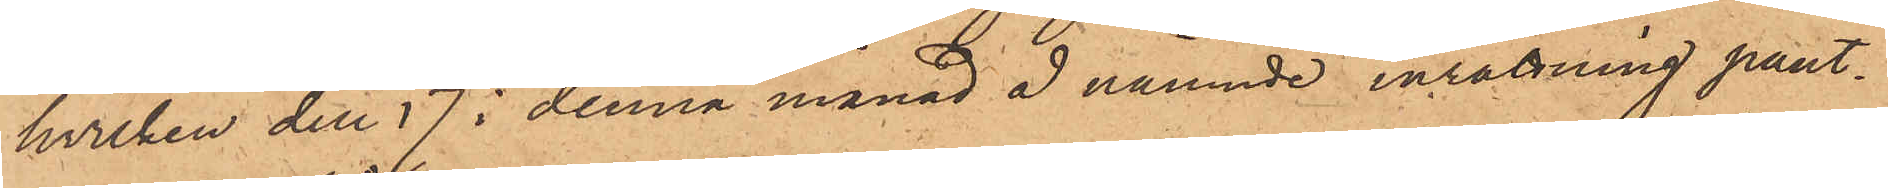hvilken den 17 i denna månad å nämnde inrättning pant¬
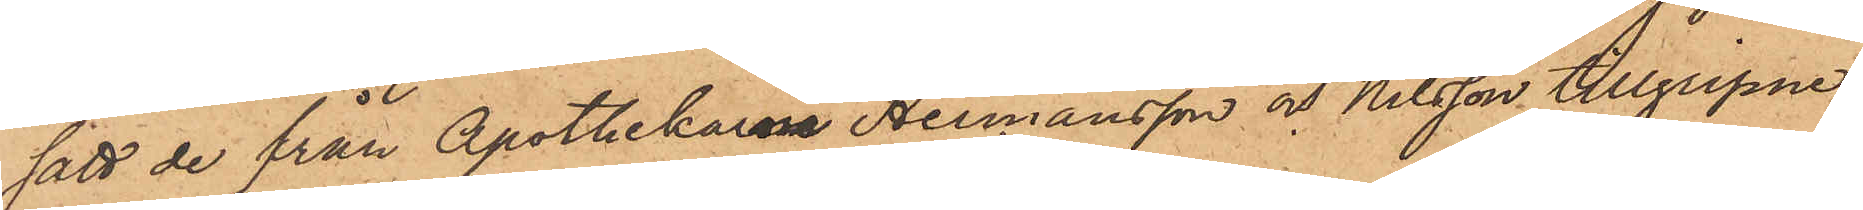satt de från Apothekarna Hermansson och Nilsson tillgripne
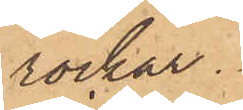rockar.
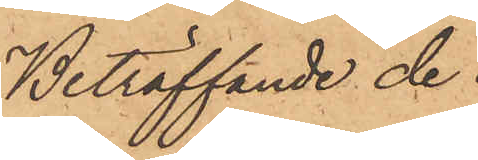Beträffande de
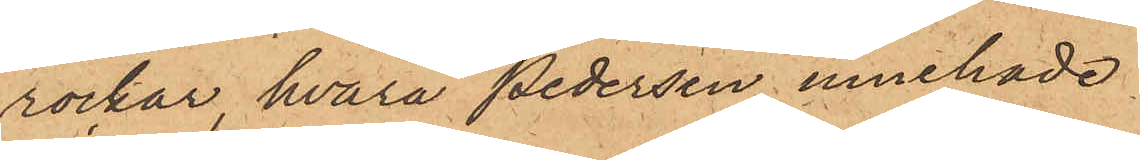rockar, hvarå Pedersen innehade
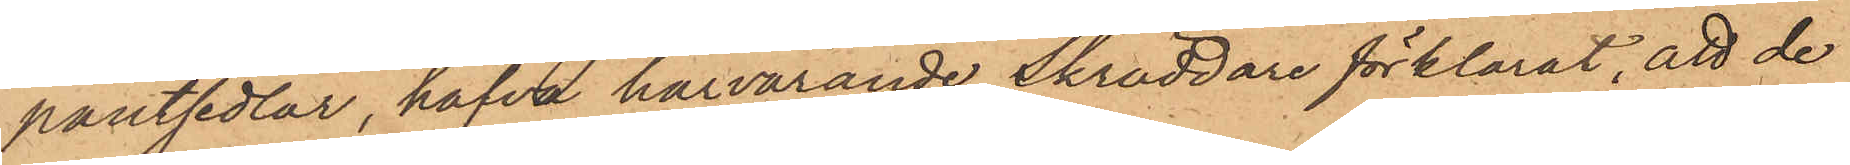pantsedlar, hafva härvarande Skräddare förklarat, att de
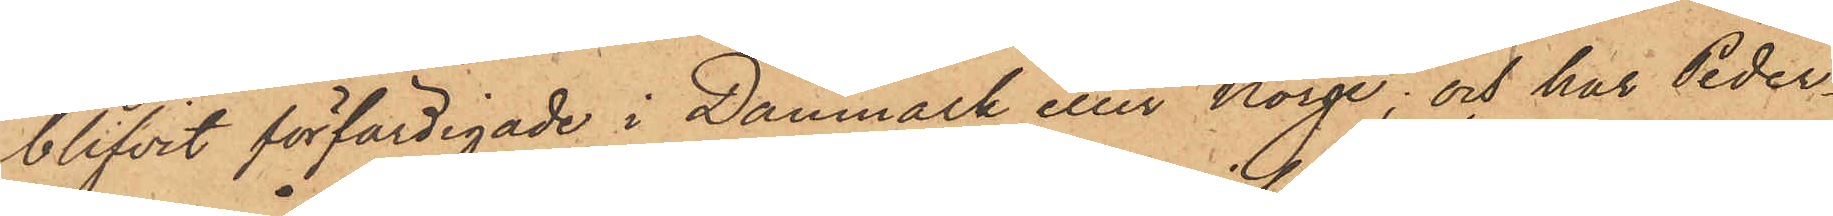blifvit förfärdigade i Danmark eller Norge; och har Peder¬
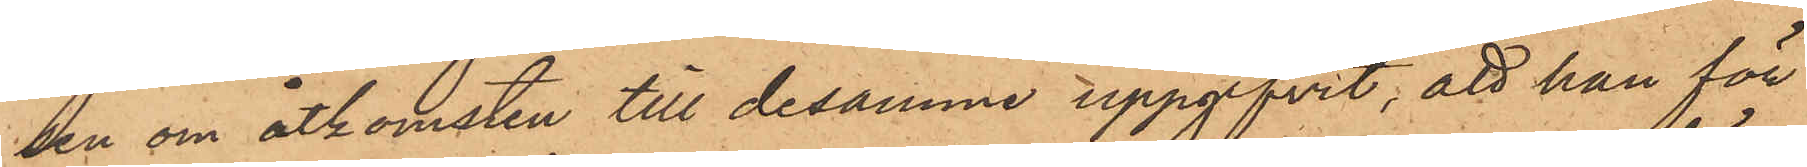sen om åtkomsten till desamma uppgifvit, att han för
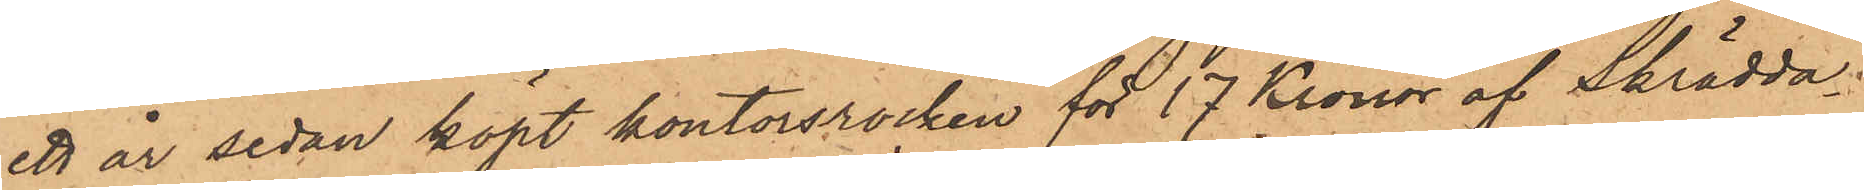ett år sedan köpt kontorsrocken för 17 Kronor af Skrädda¬
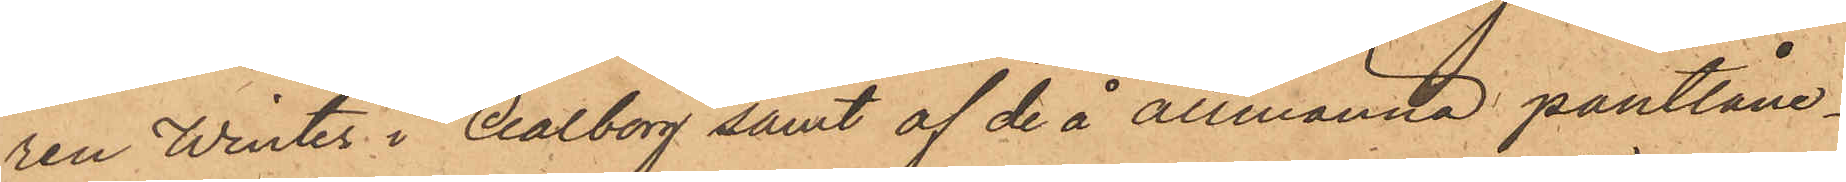ren Winter i Aalborg samt af de å allmänna pantlåne¬
